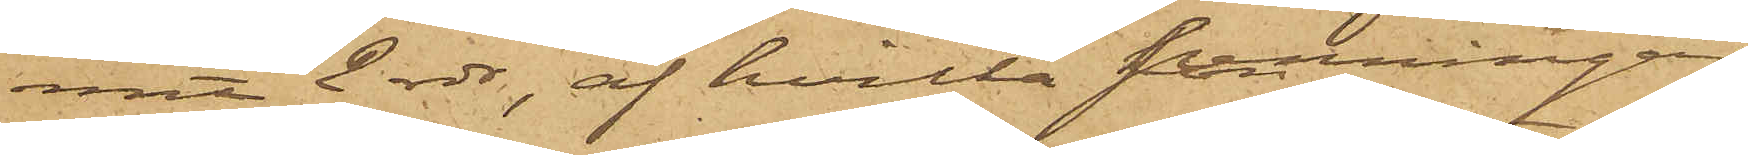mit 2 rdr, af hvilka penningar
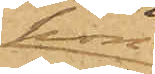hon
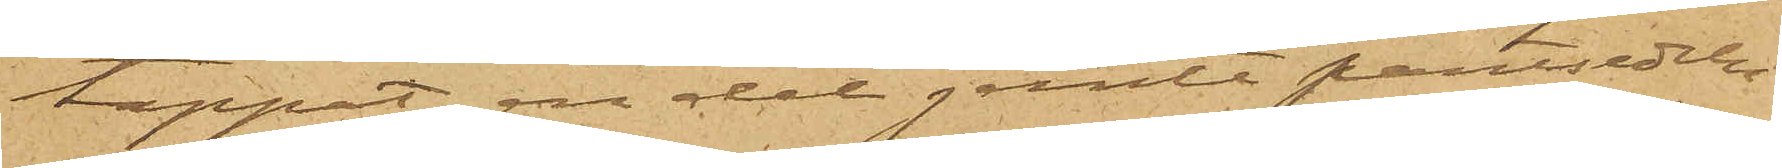tappat en del jemte pantsedeln
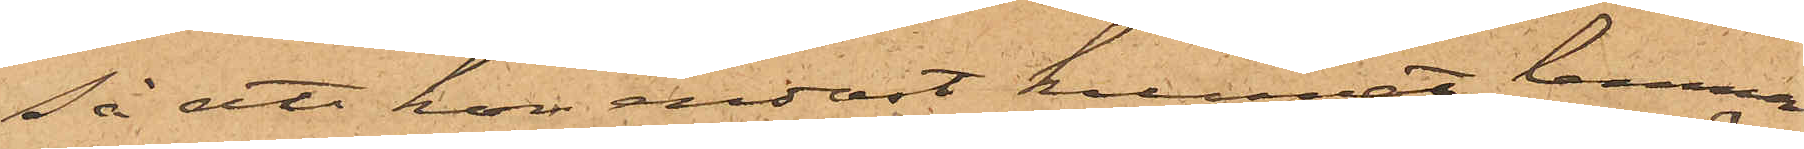Så att hon endast kunnat lemna
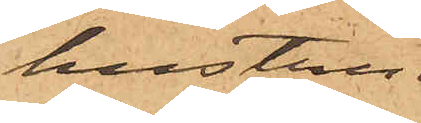hustru
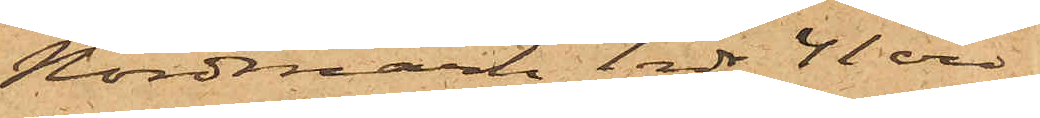Nordmark 1 rdr 41 öre,
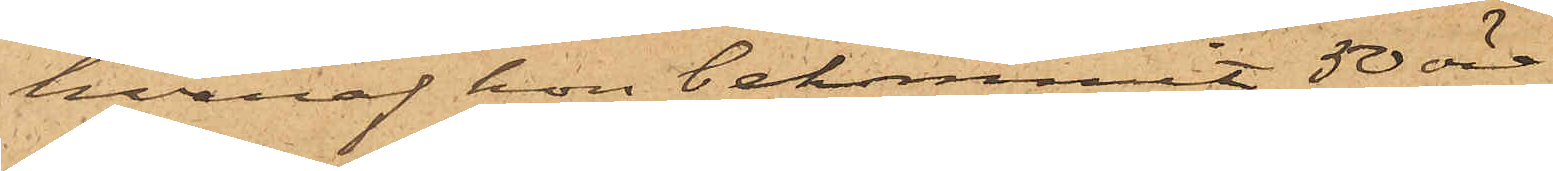hvaraf hon bekommit 50 öre.
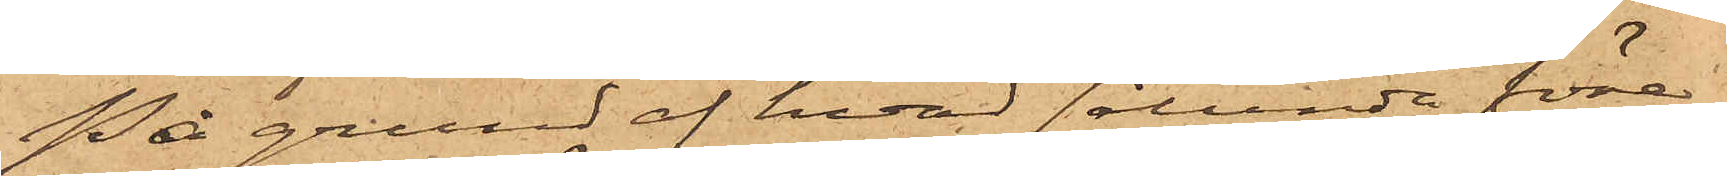På grund af hvad sålunda före¬
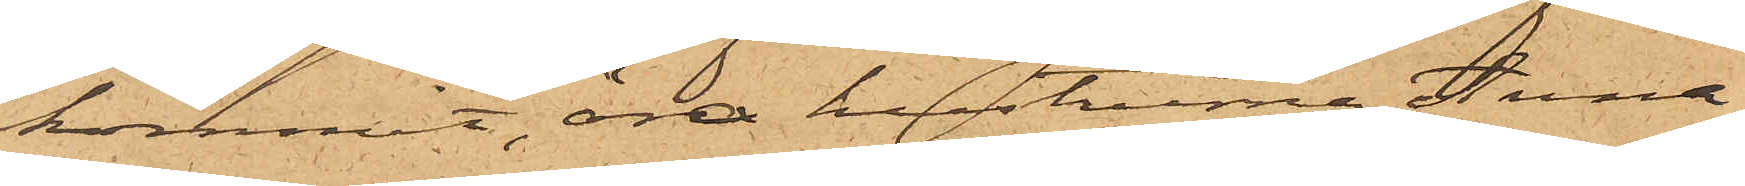kommit, äro hustrurna Anna
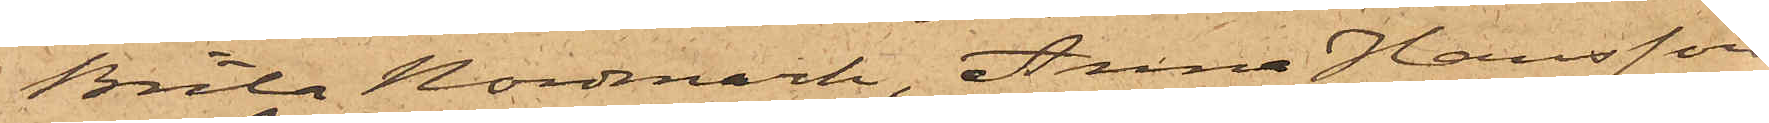Brita Nordmark, Anna Hansson
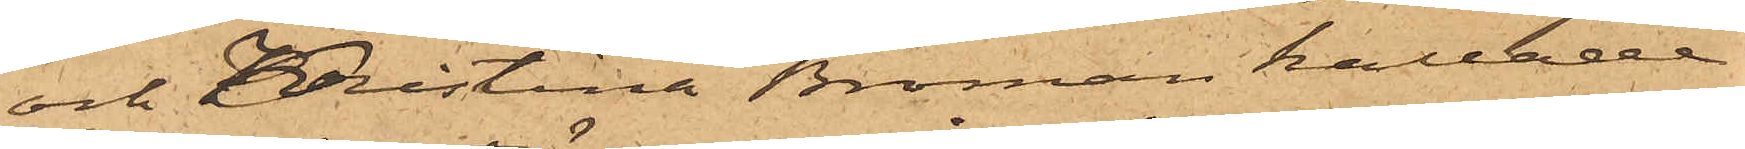och Kristina Broman kallade
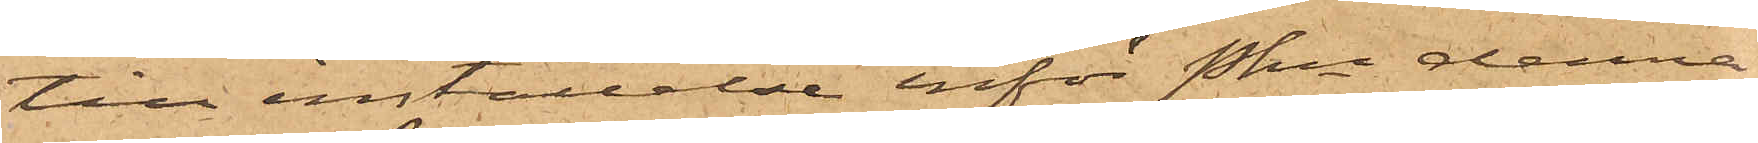till inställelse inför Pkn denna
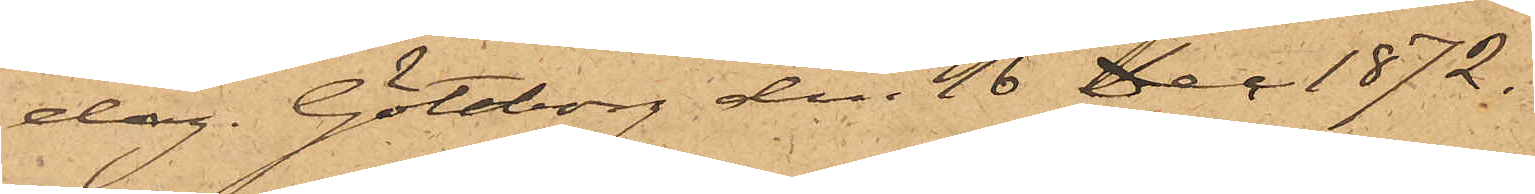dag. Göteborg den 16 Dec. 1872.
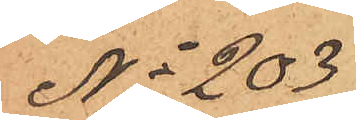No 203
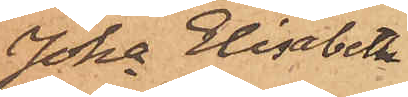Joha Elisabeth
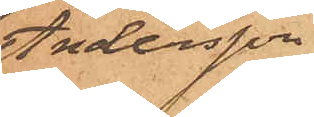Andersson
